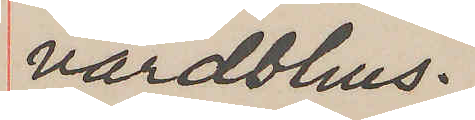värdshus.
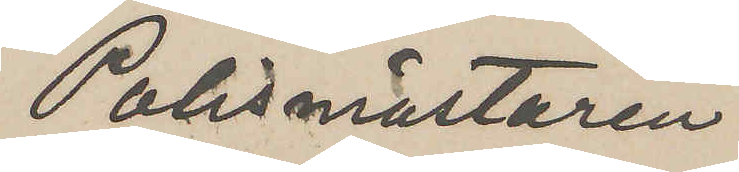Polsmästaren
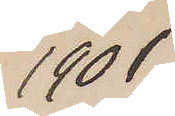1901
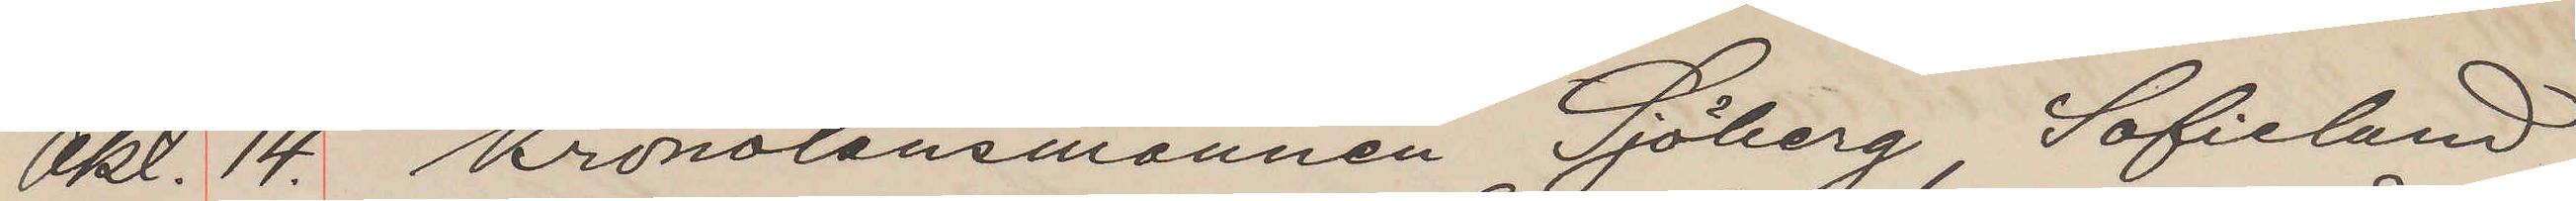Okt. 14. Kronolänsmannen Sjöberg, Sofielund
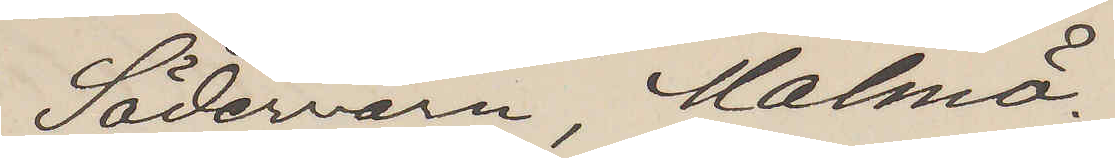Södervärn, Malmö.
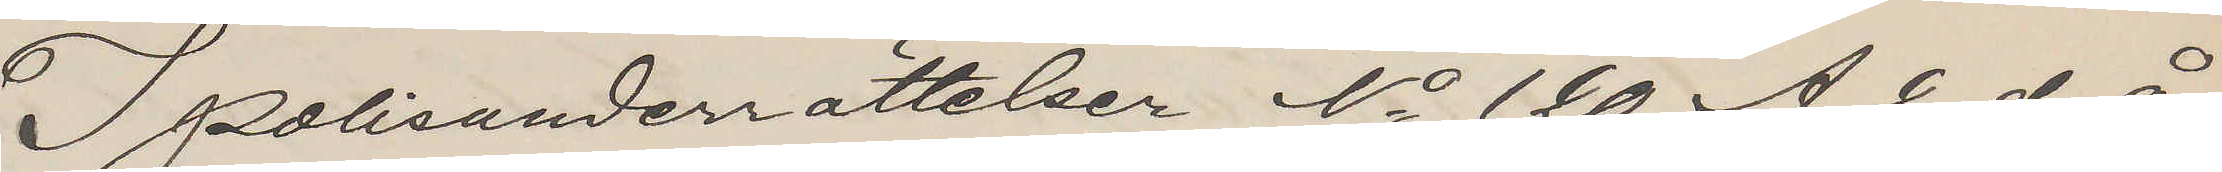I polisunderrättelser No 120 A 2 d.å
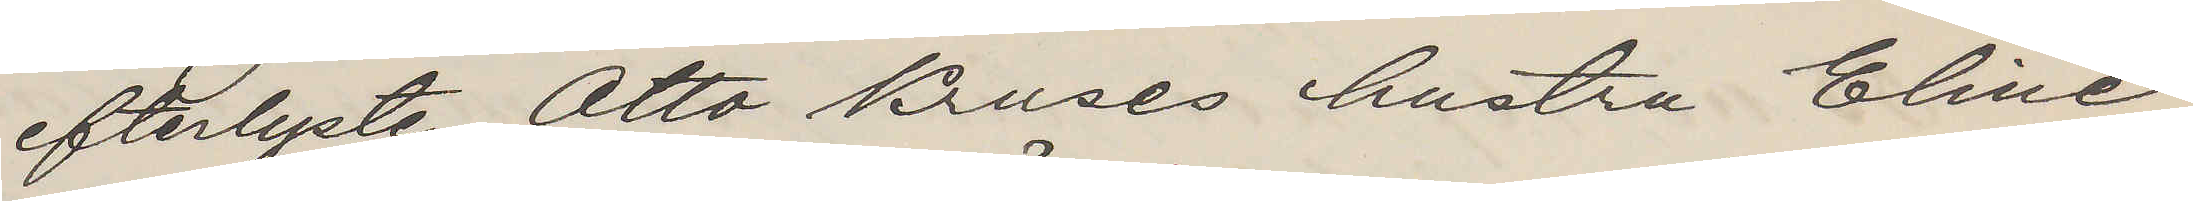efterlyste Otto Kruses hustru Eline
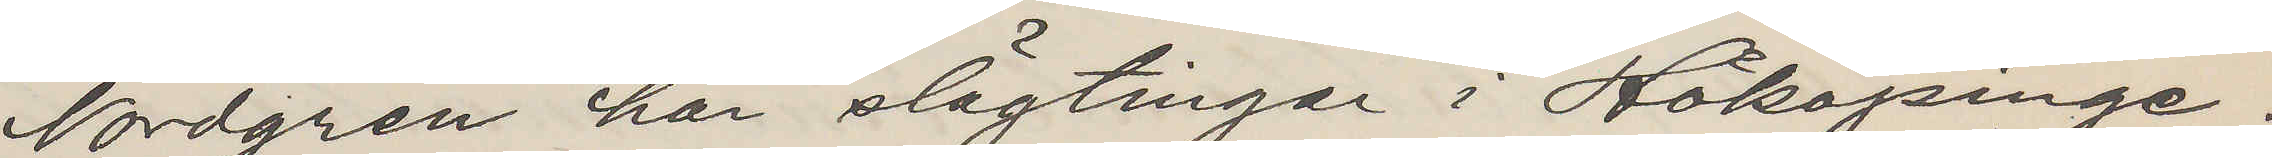Nordgren har slägtingar i Hököpinge.
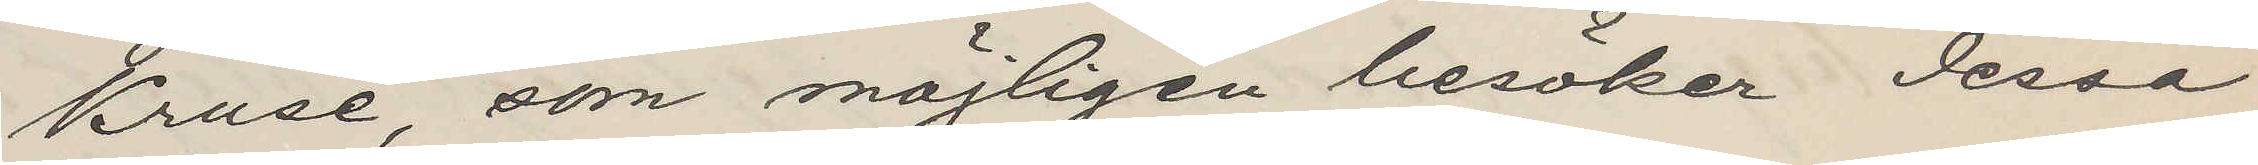Kruse, som möjligen besöker dessa
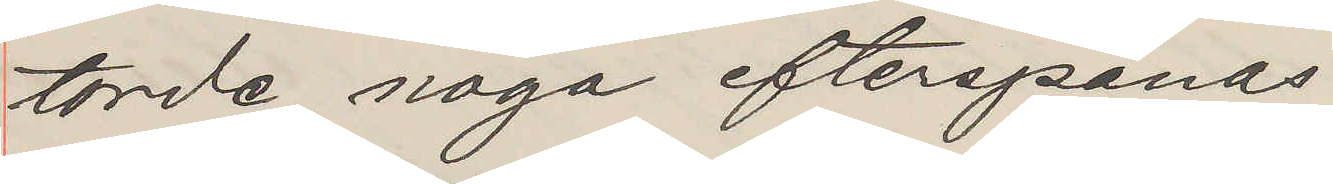torde noga efterspanas.
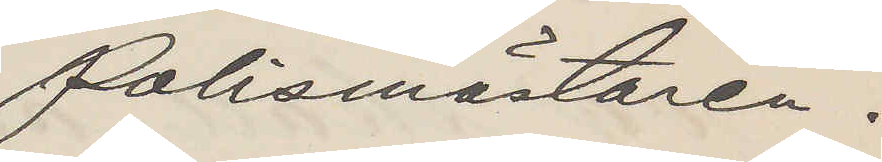Polismästaren.
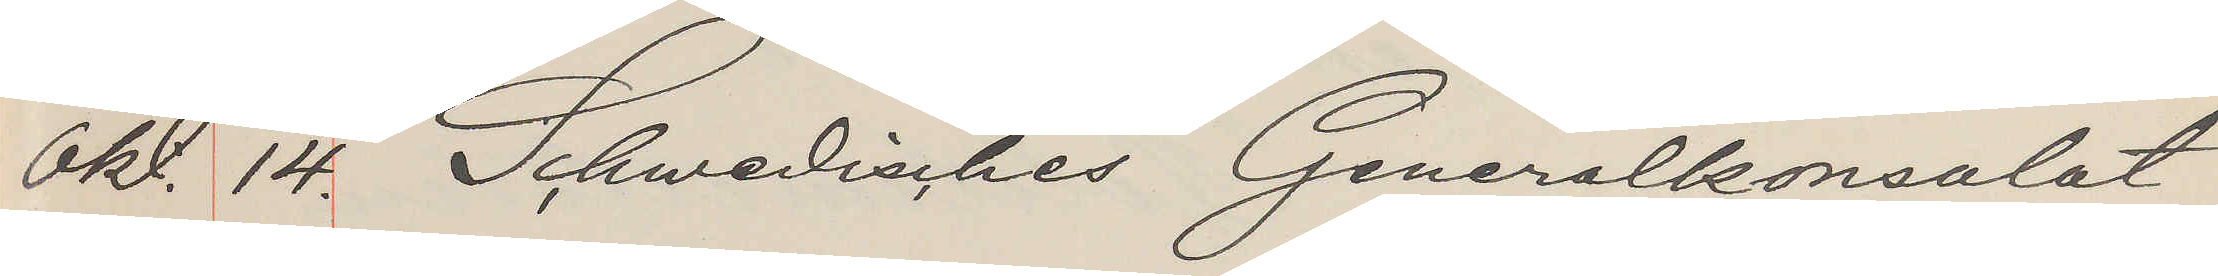Okt. 14. Schwedisches Generalkonsulat
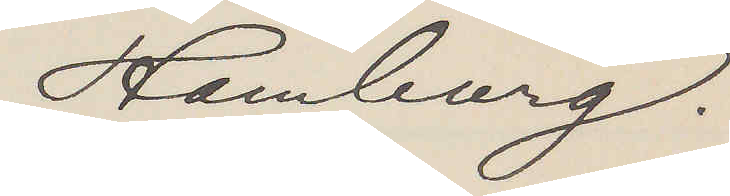Hamburg.
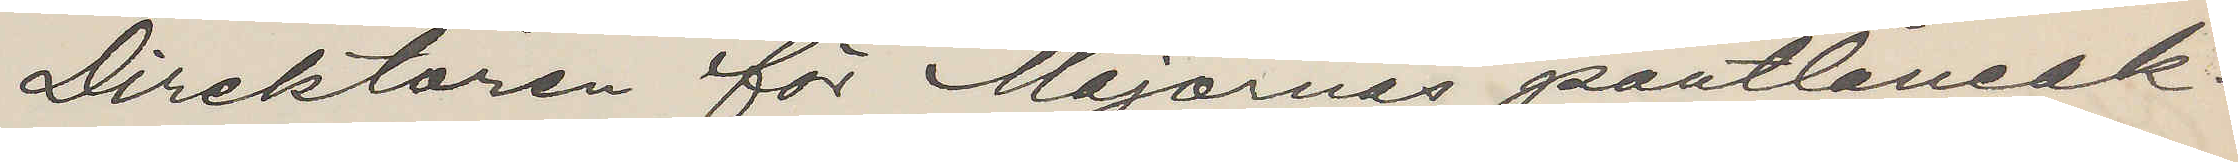Direktören för Majornas pantlåneak¬
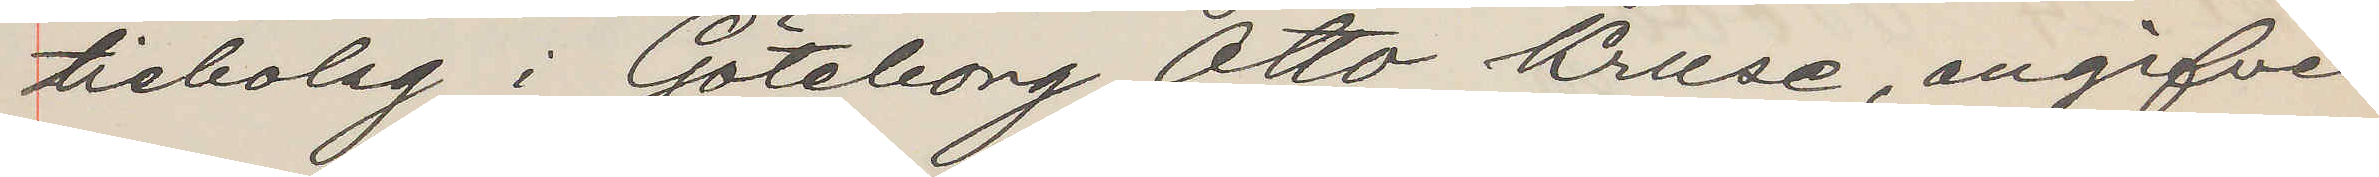tiebolag i Göteborg Otto Kruse, angifven
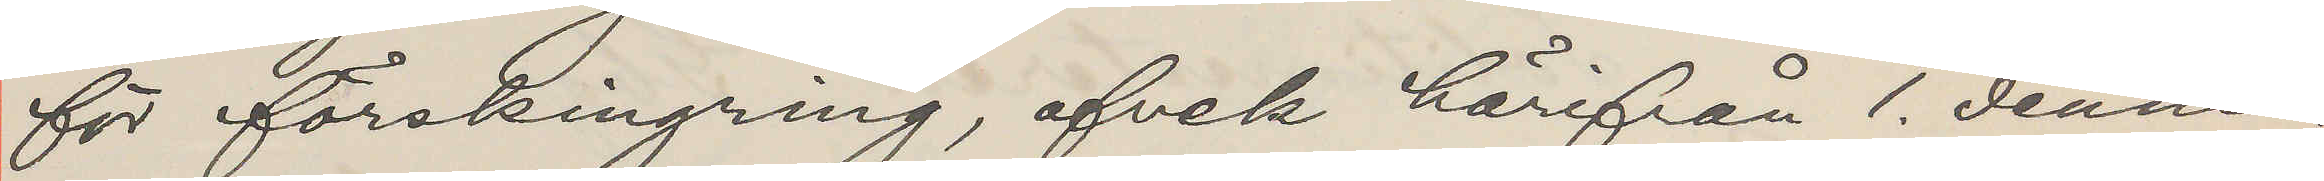för förskingring, afvek härifrån 1. dennes.
